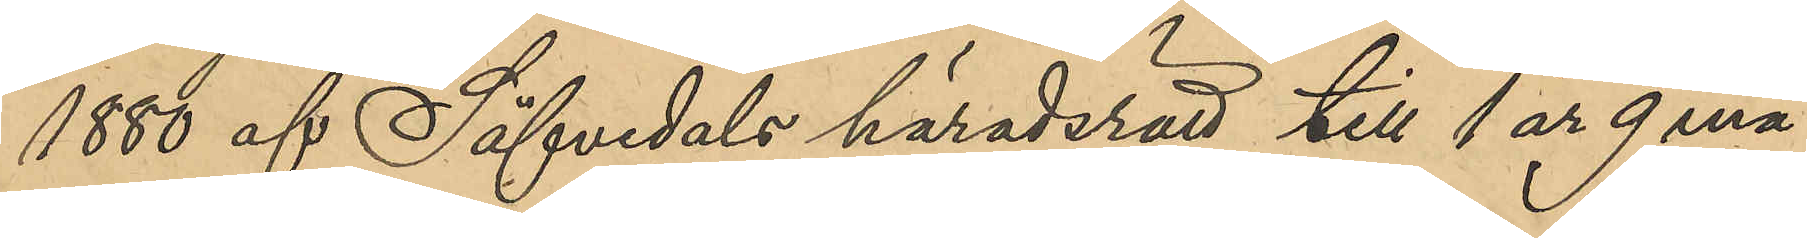1880 af Säfvedals häradsrätt till 1 år 9 må¬
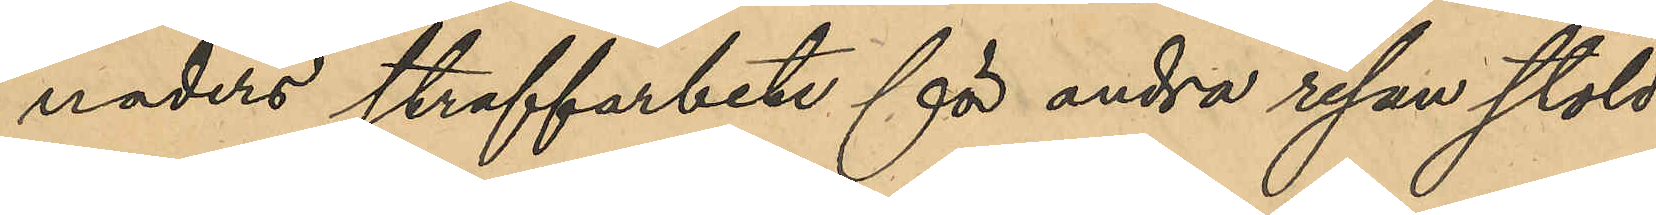naders straffarbete för andra resan stöld
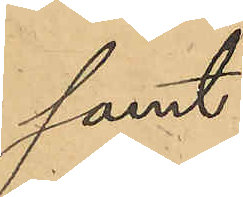samt
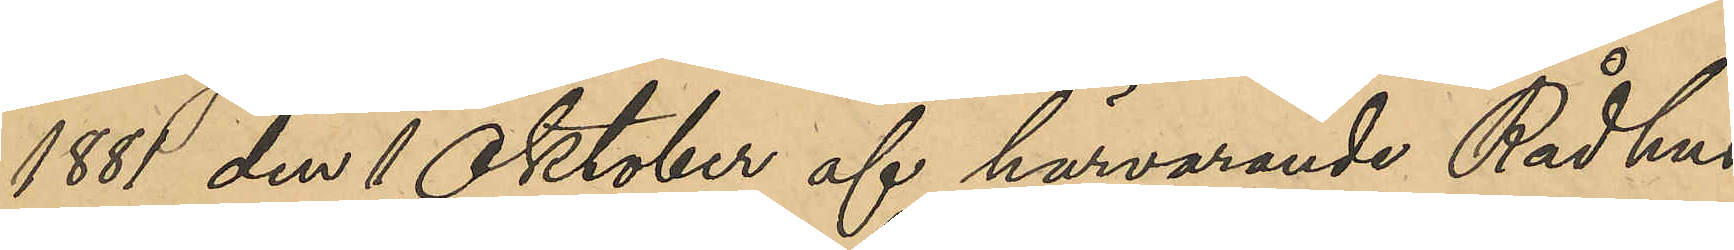1881 den 1 Oktober af härvarande Rådhus¬
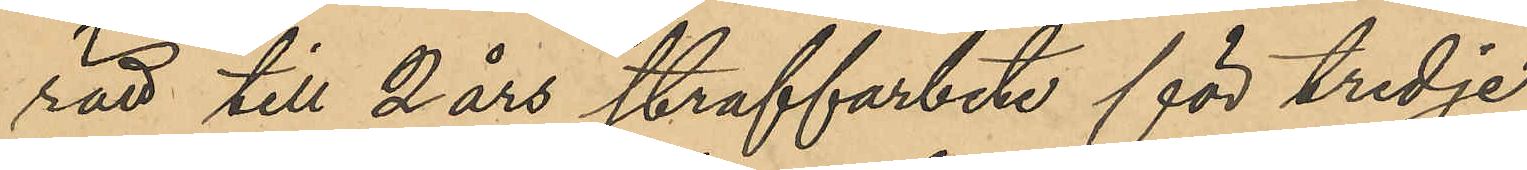rätt till 2 års straffarbete för tredje
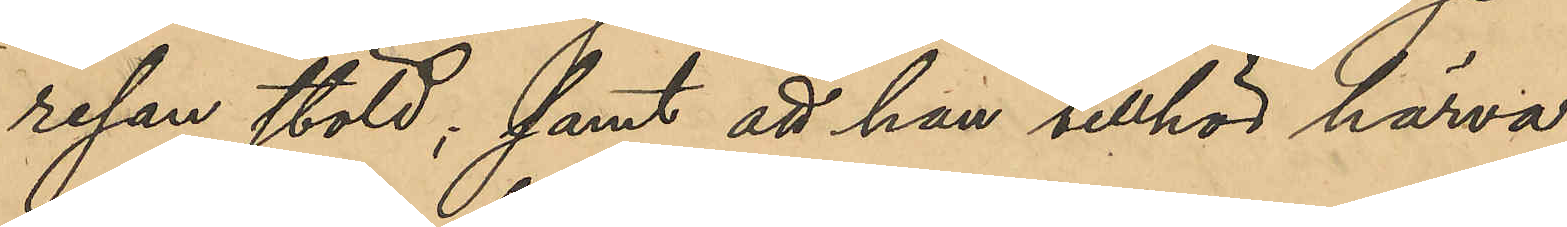resan stöld; samt att han tillhör härva¬
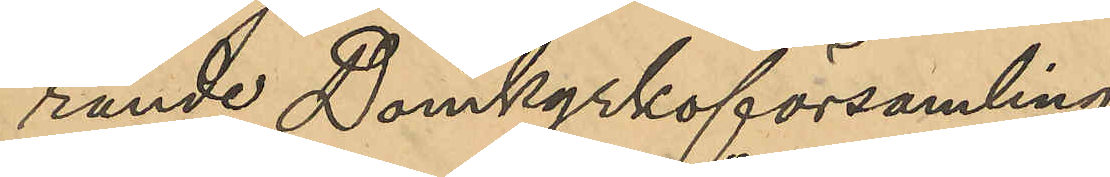rande Domkyrkoförsamling.
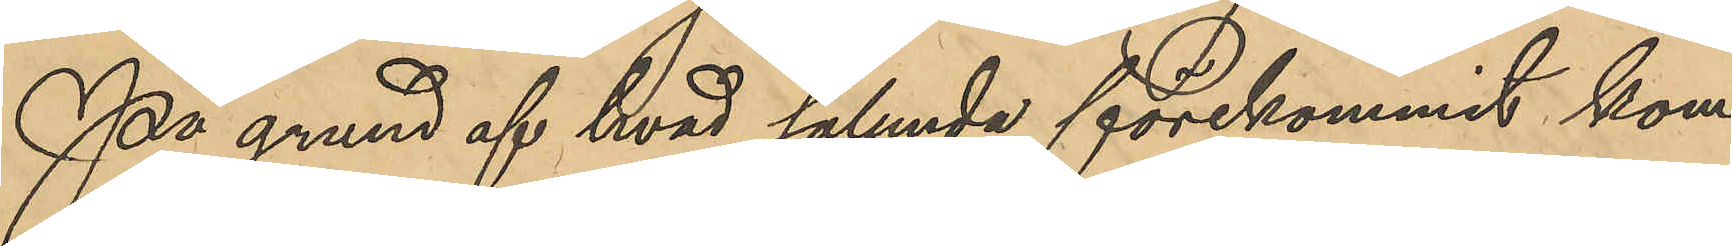På grund af hvad sålunda förekommit kom¬
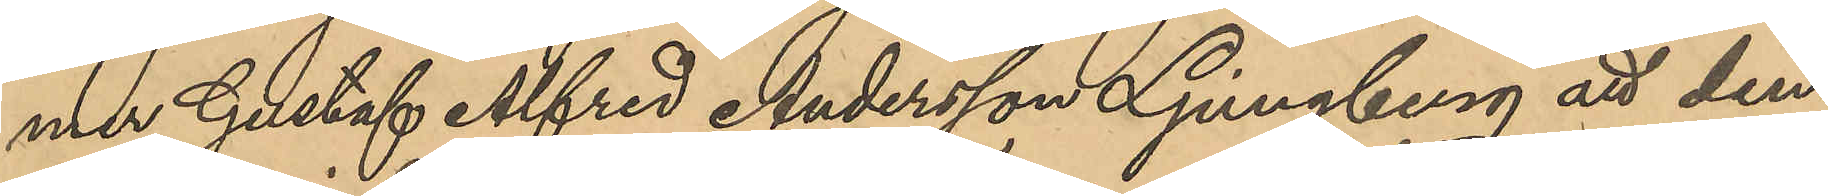mer Gustaf Alfred Andersson Ljungberg att den¬
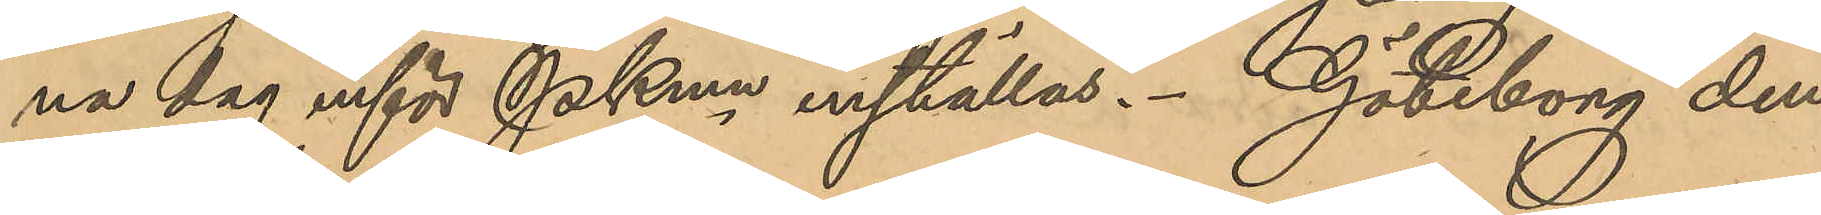na dag inför PKmn inställas. Göteborg den
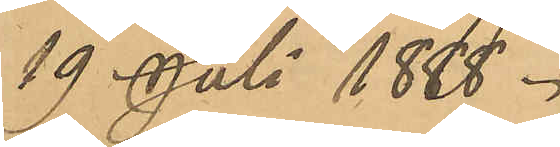19 Juli 1888.
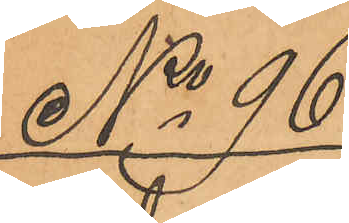No 96
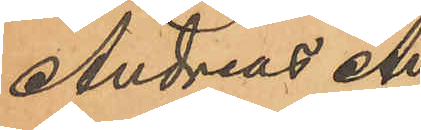Andreas An¬
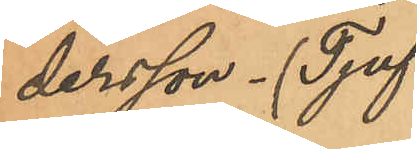dersson (Tjuf¬
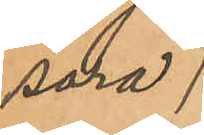sara).
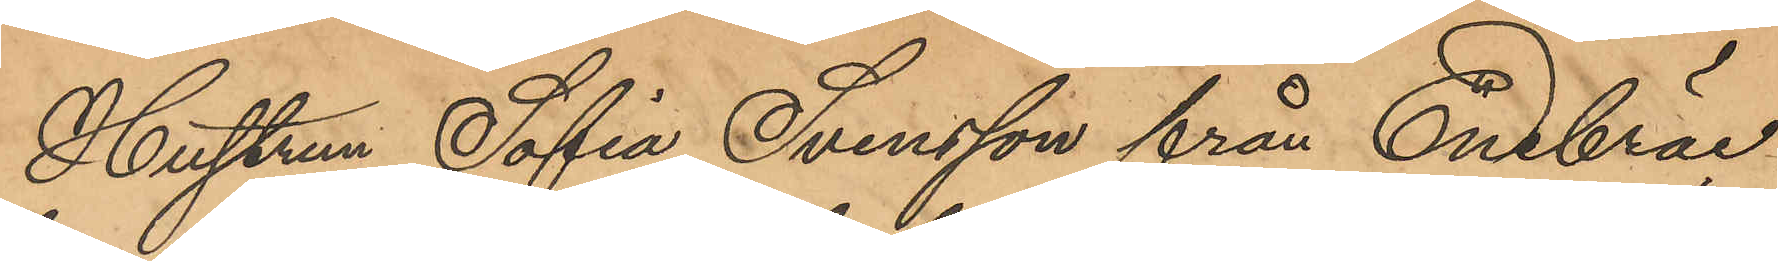Hustrun Sofia Svensson från Enebräc¬
